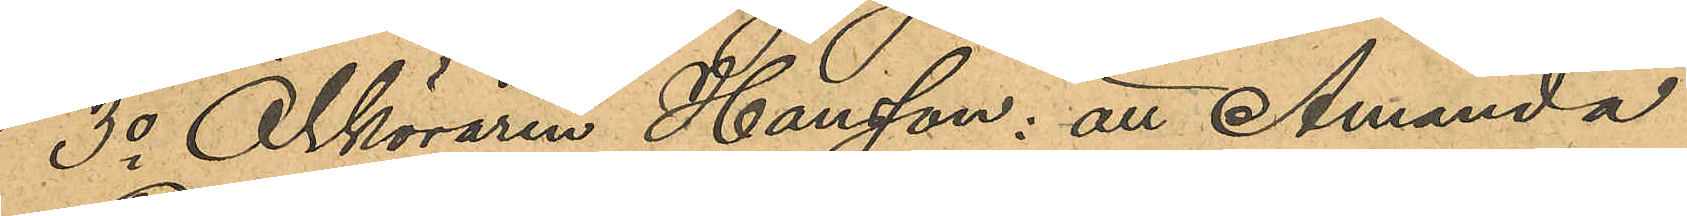3o Ölköraren Hansson: att Amanda
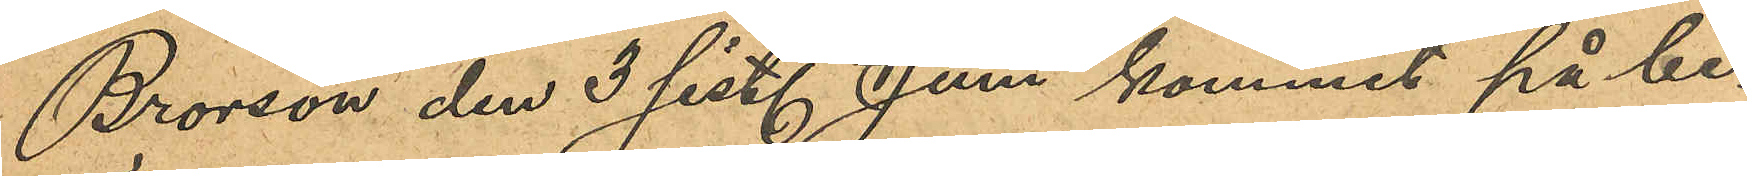Brorson den 3 sist. Juni kommit på be¬
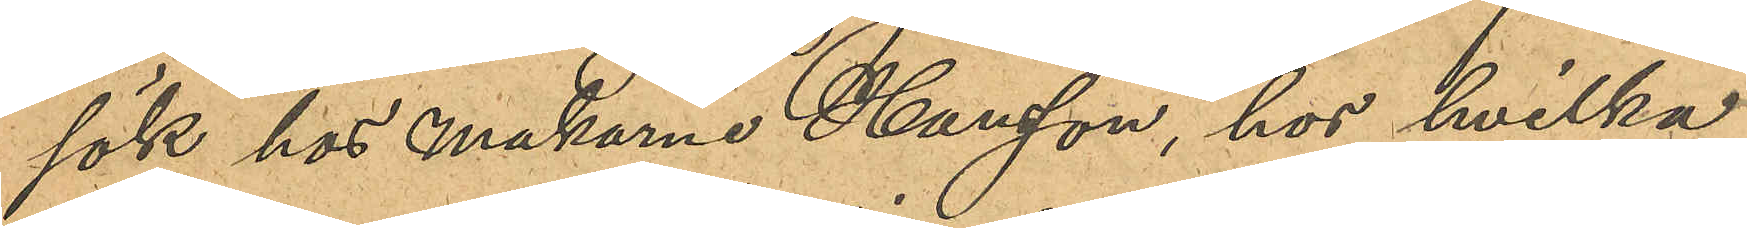sök hos makarne Hansson, hos hvilka
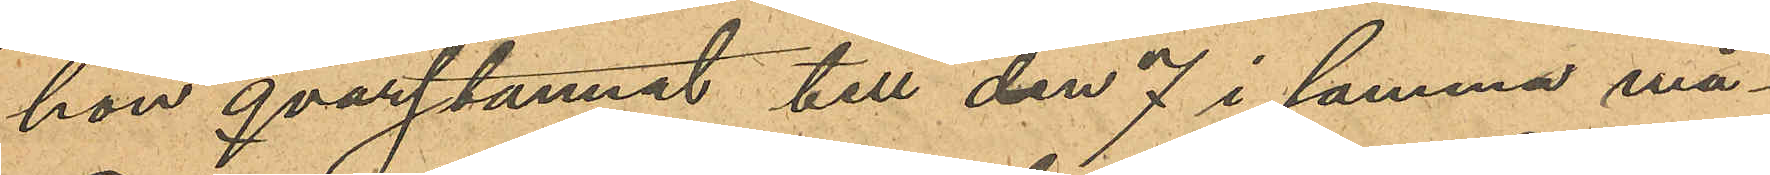hon qvarstannat till den 7 i samma må¬
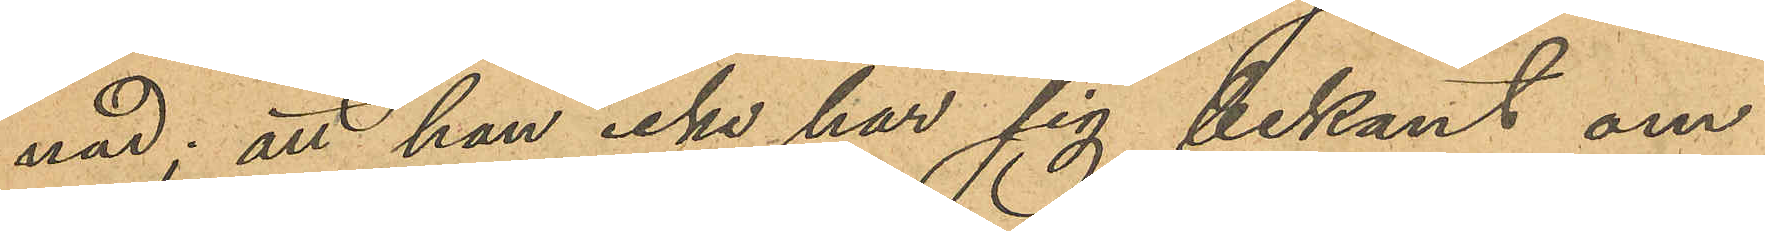nad; att han icke har sig bekant om
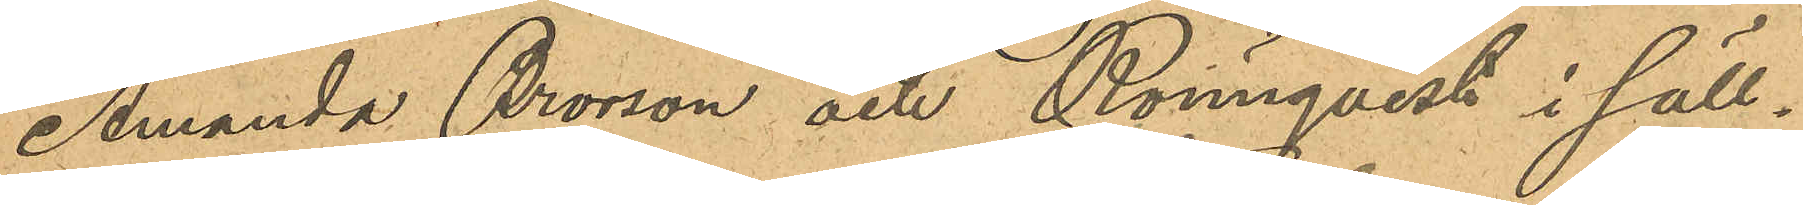Amanda Brorson och Rönnqvist i säll¬
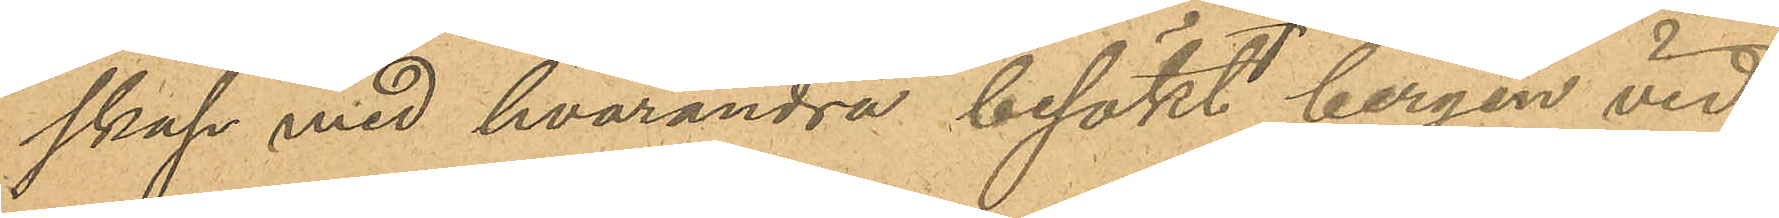skap med hvarandra besökt bergen vid
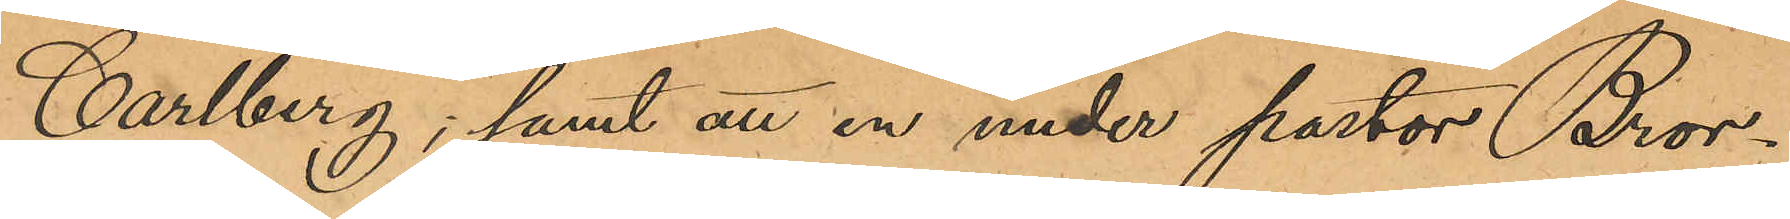Carlberg; samt att en under pastor Bror¬
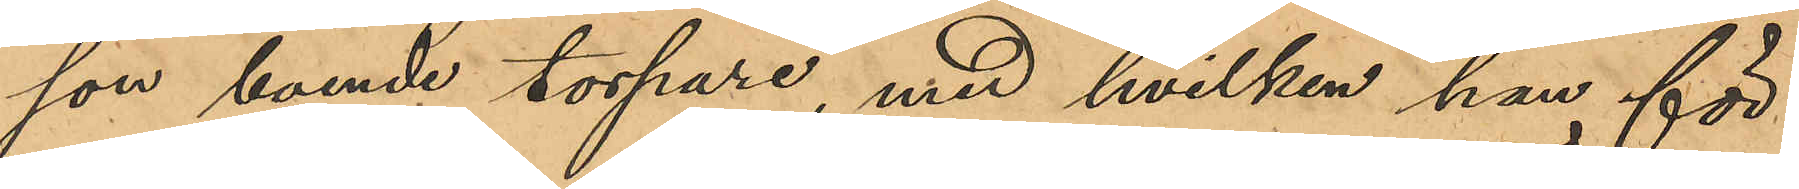son boende torpare, med hvilken han för
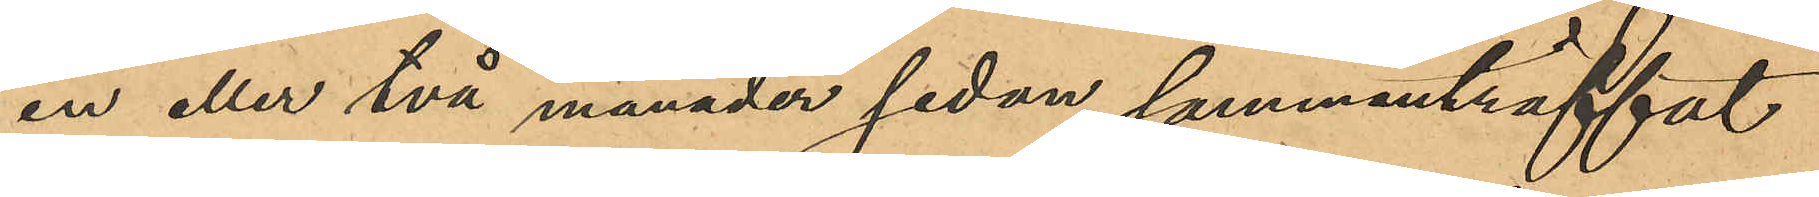en eller två månader sedan sammanträffat
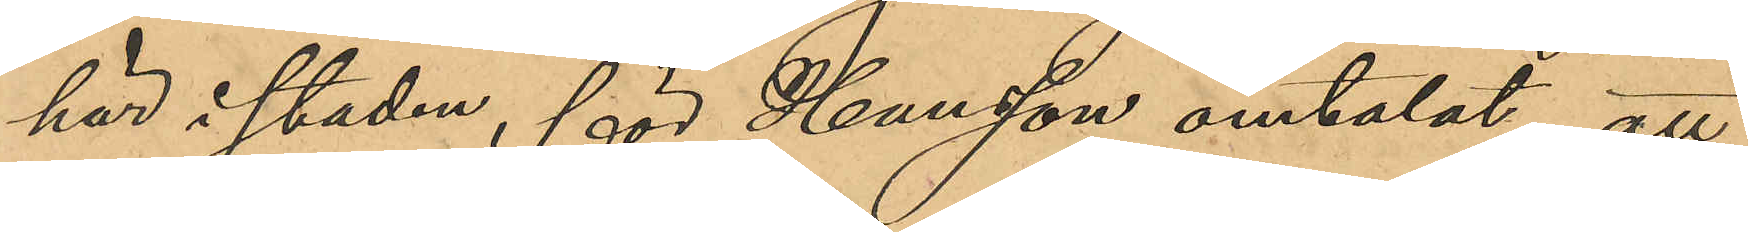här i staden, för Hansson omtalat att
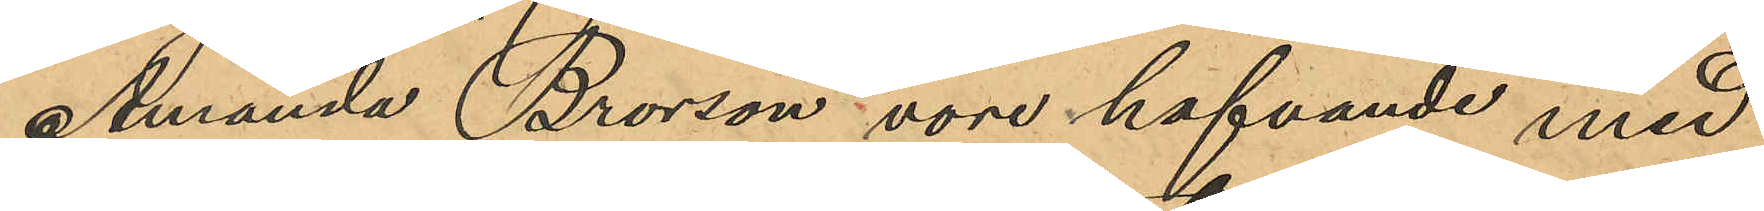Amanda Brorson vore hafvande med
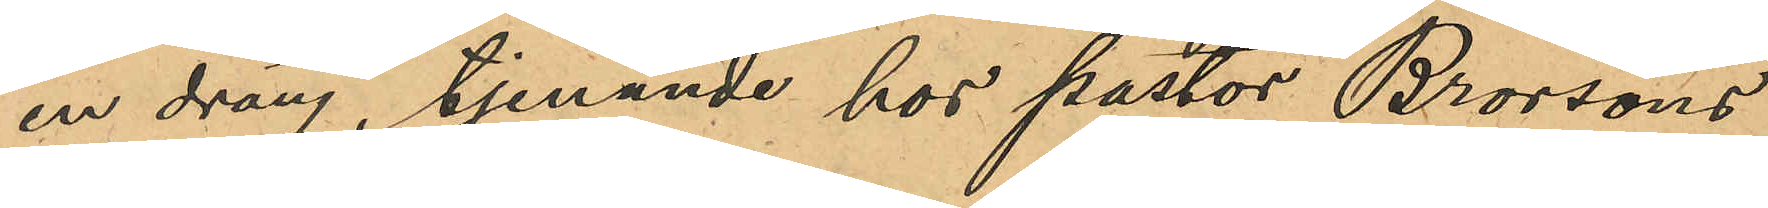en dräng, tjenande hos pastor Brorsons
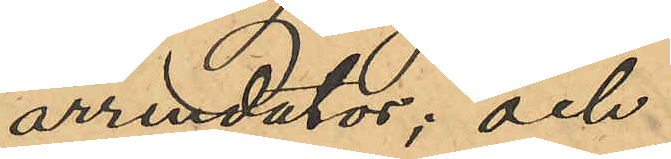arrendator; och
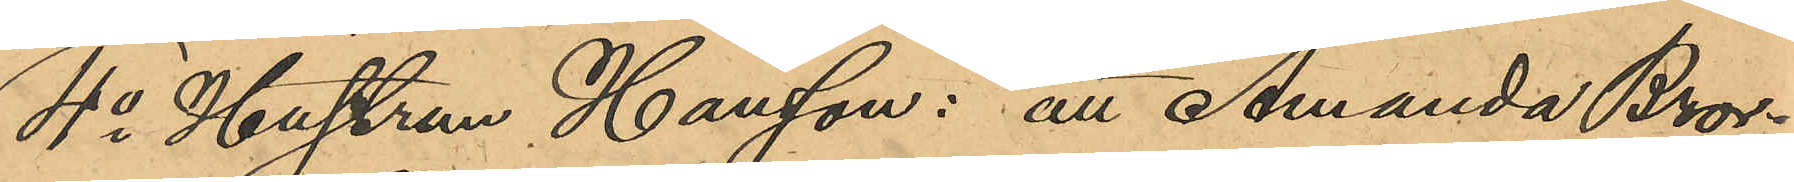4o Hustrun Hansson: att Amanda Bror¬
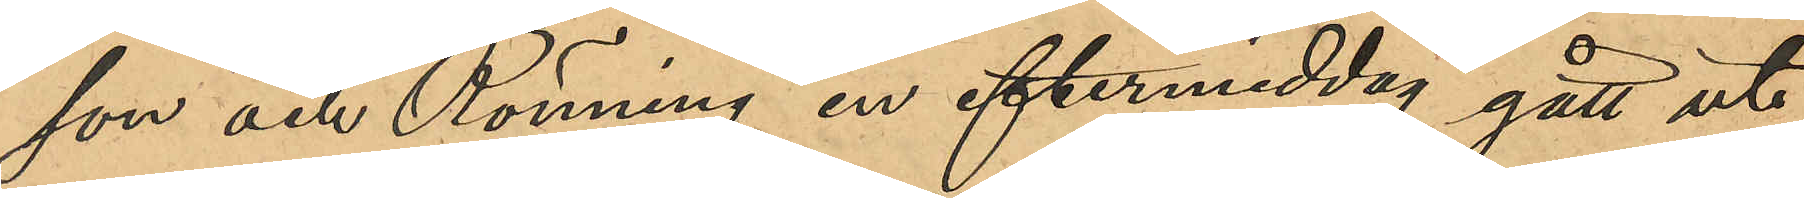son och Rönning en eftermiddag gått ut
